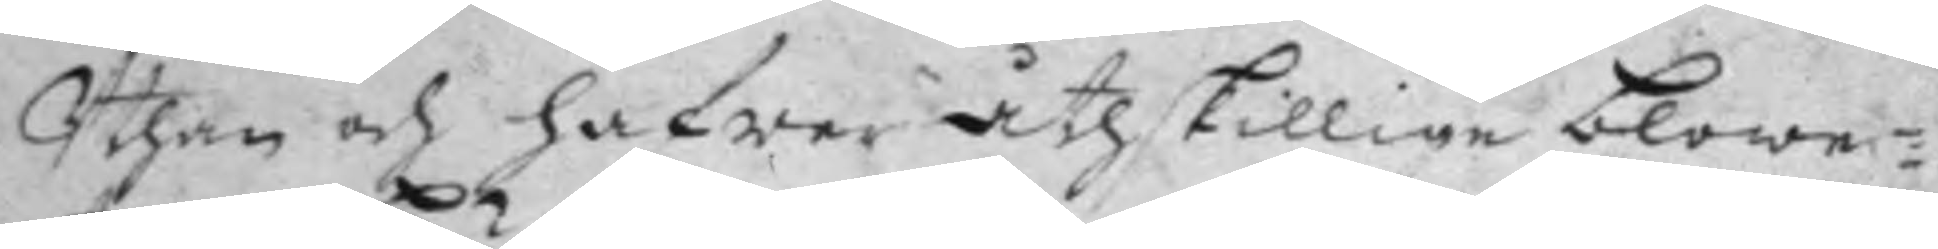Uthan och hafwer åthskillige blowe¬
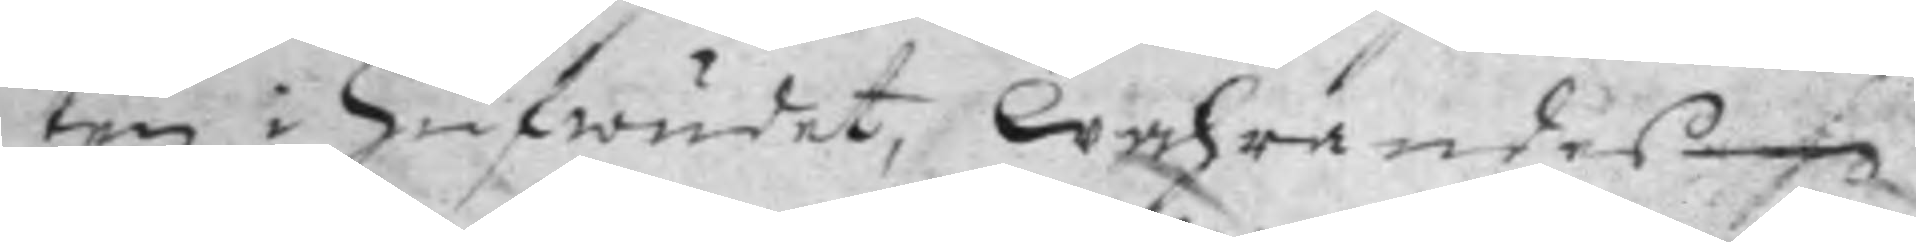ten i Hufwudet, wahrandes
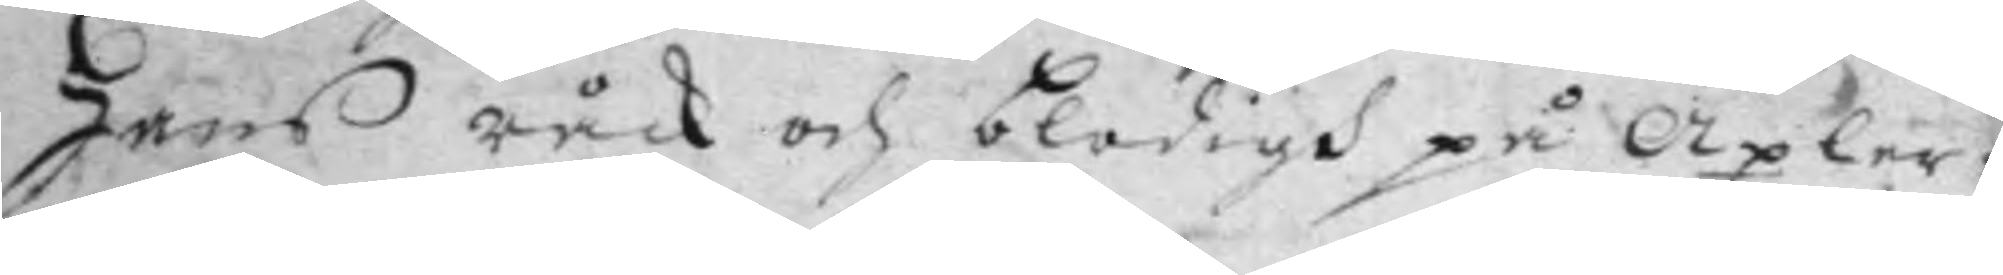hans råck och blodigh på axlar¬
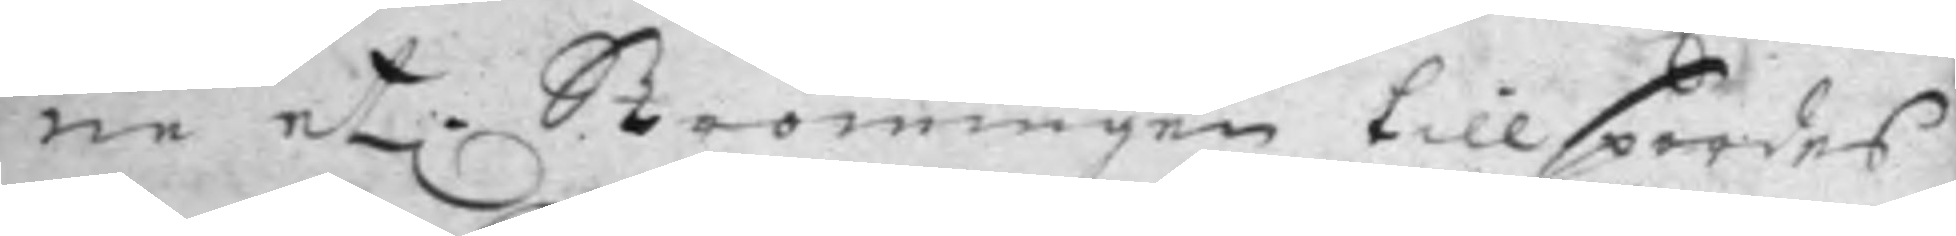ne et. Strömingen tillspordes
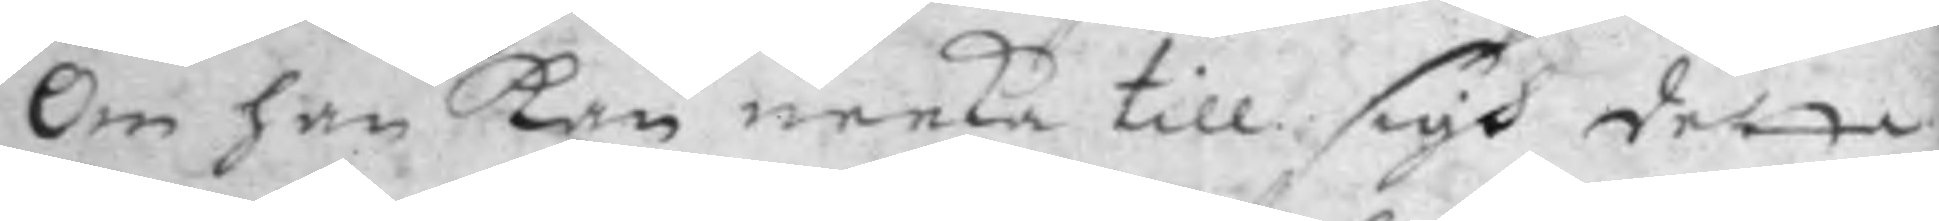om han Kan neeka till sigh detta
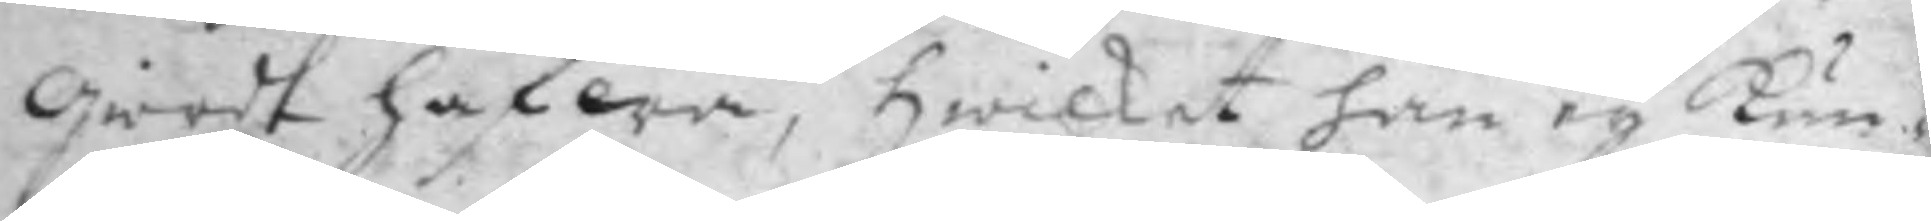giordt hafwa, hwilket han ey kun¬
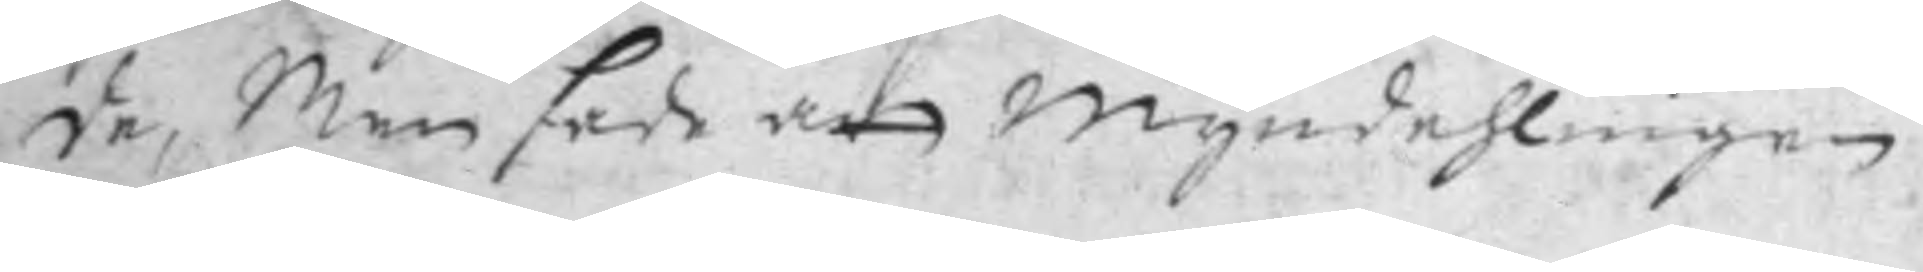de, Men sade att myndehlingen
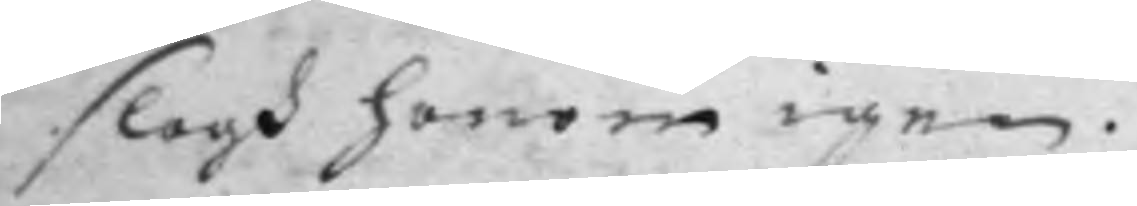slogh honom igen.
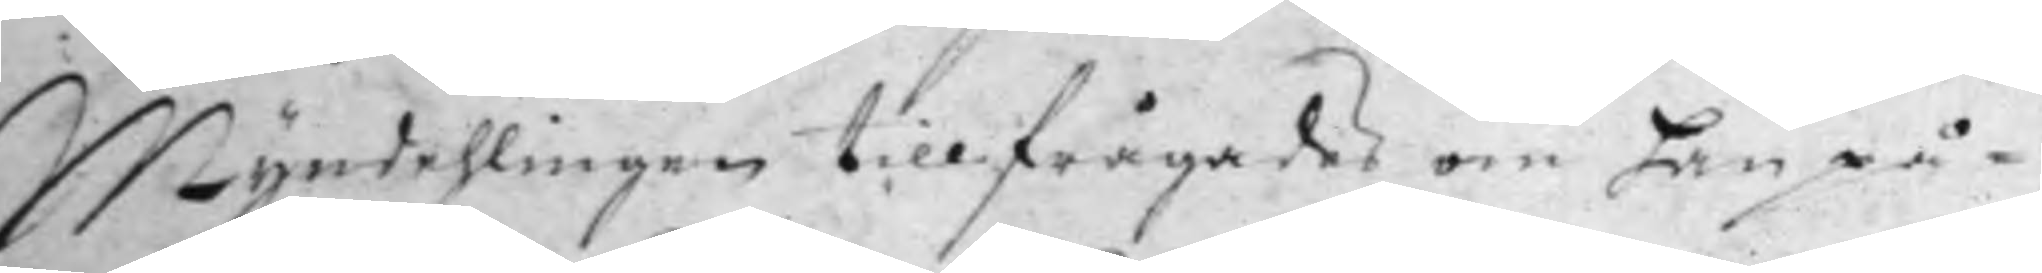Myndehlingen tillfrågades om han på¬
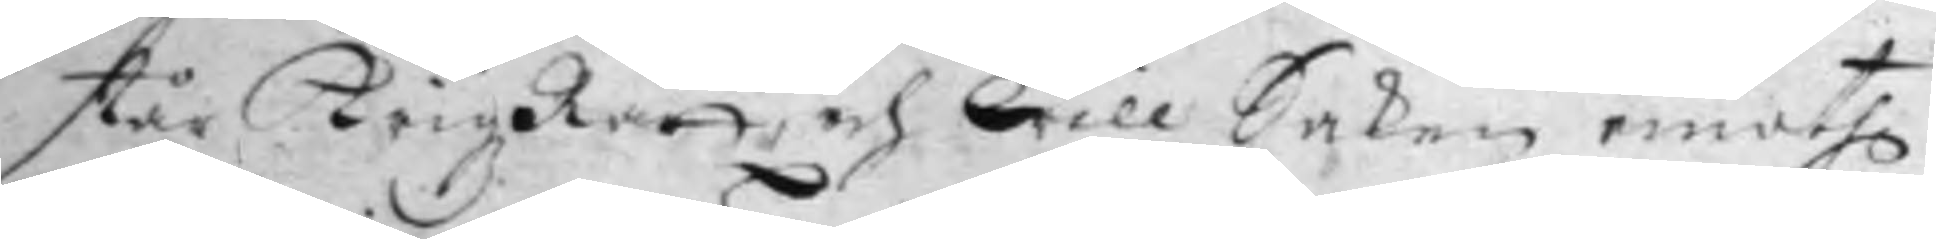står KrigzRätt, och will Saken emoth
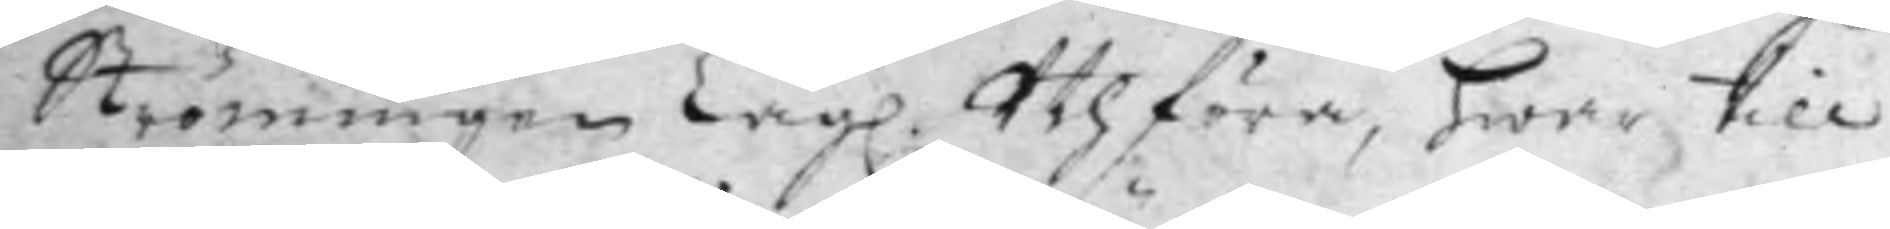Strömingen Lagl. Uthföra, hwar till
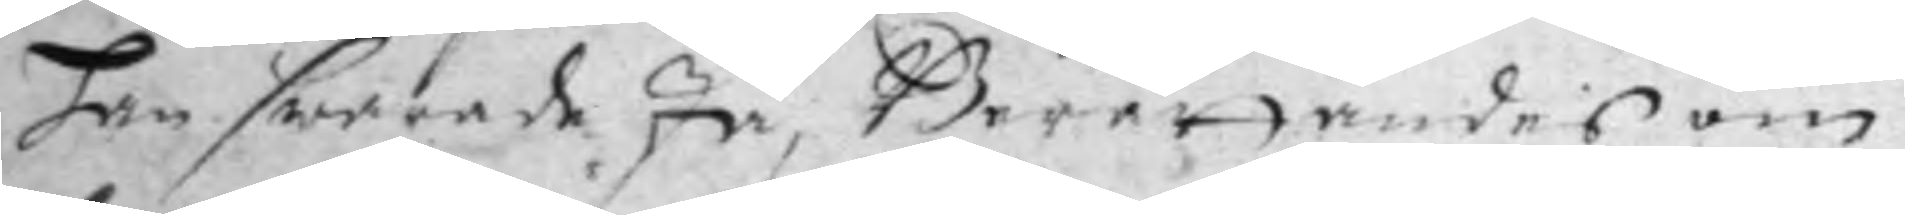han swarade Ja, Berättandes om
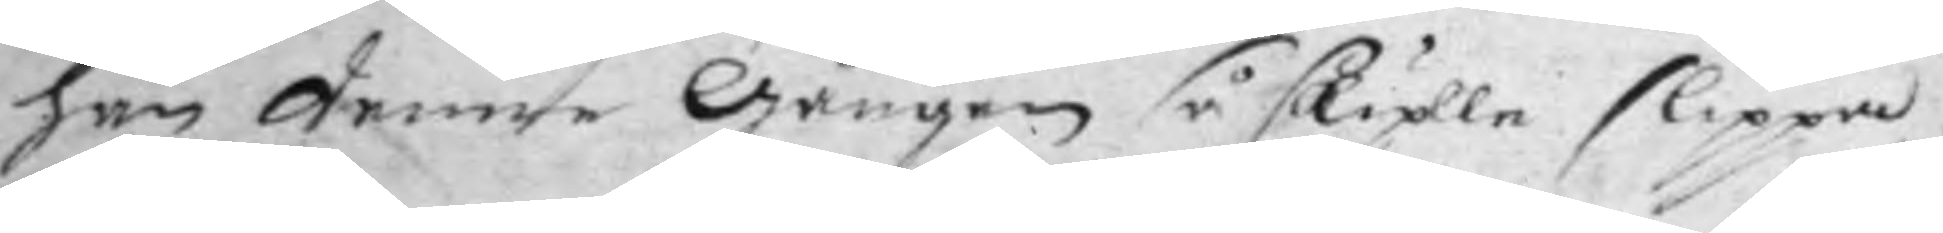han denne gången så skulle slippa
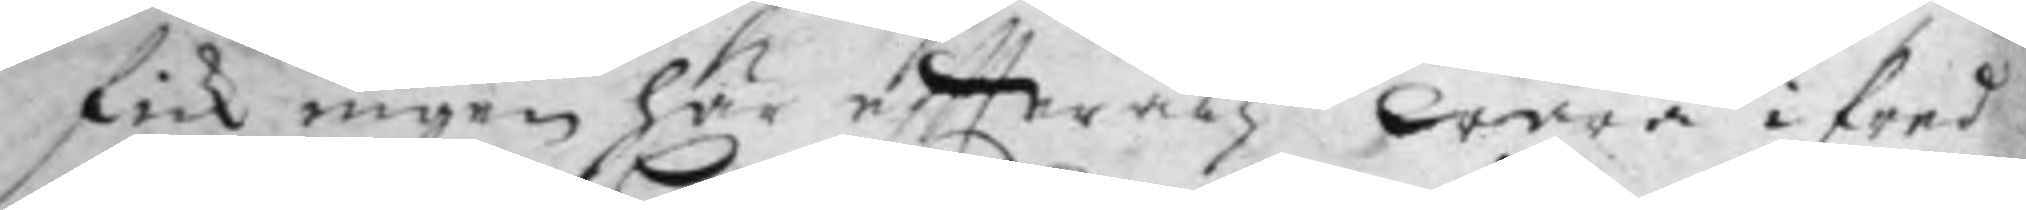fick ingen här eftteråth wara ifred
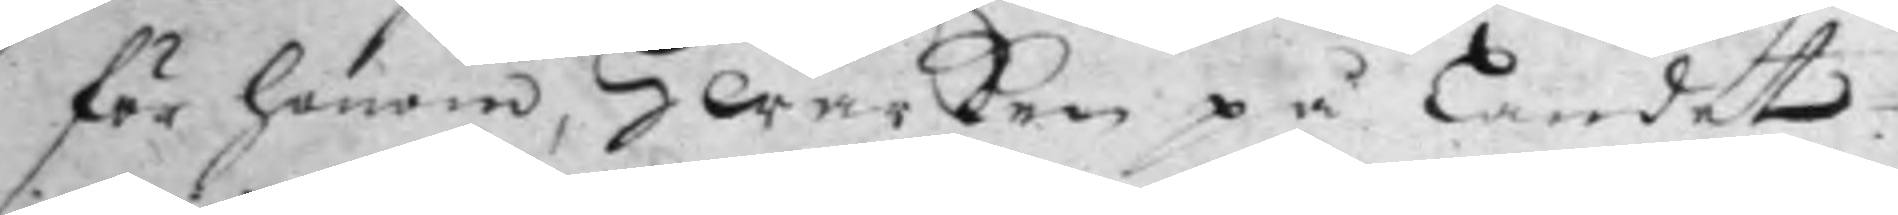för honom, Hwarken på landet
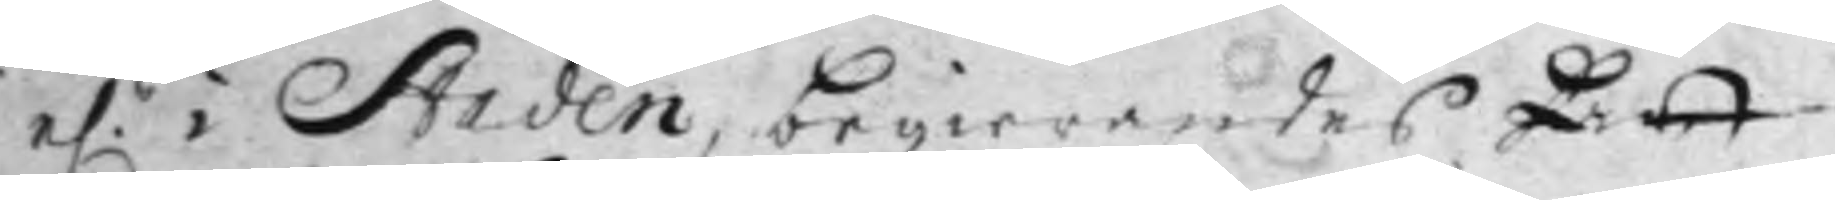el. i Staden, begierandes Att
